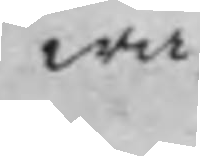wa
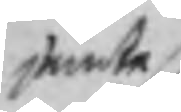jemte
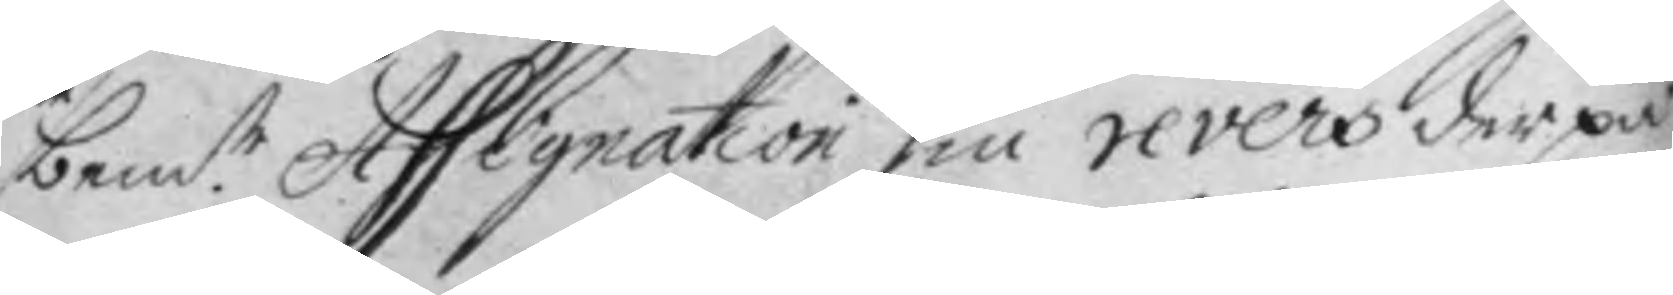bem.te Assignation sin revers der på;
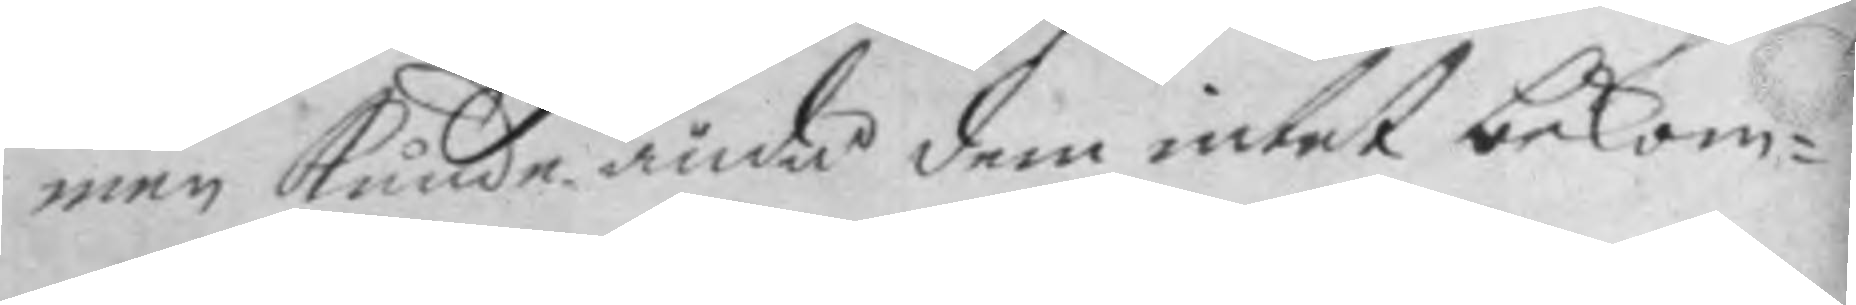men kunde ändå dem intet bekom¬
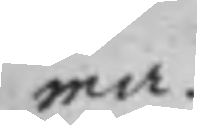ma.
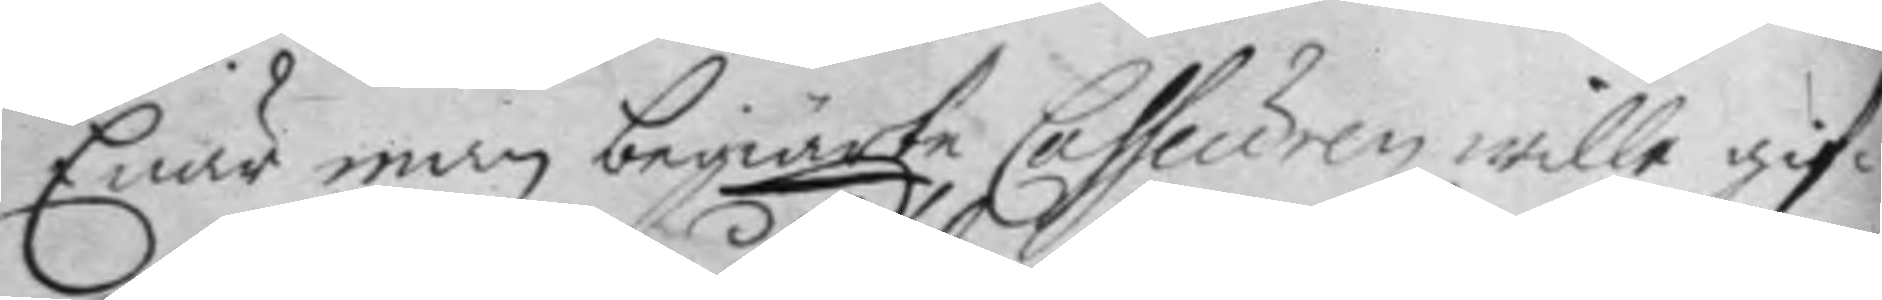Enär man begiärte Casseuren wille gif¬
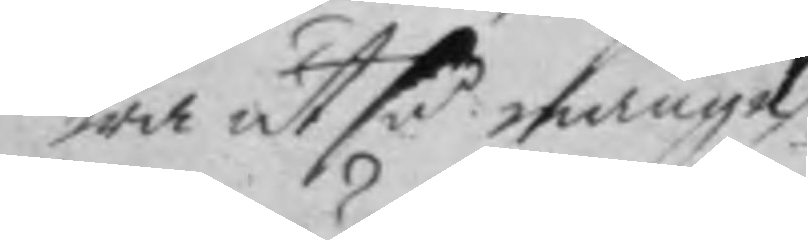wa ut så månge
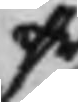effr
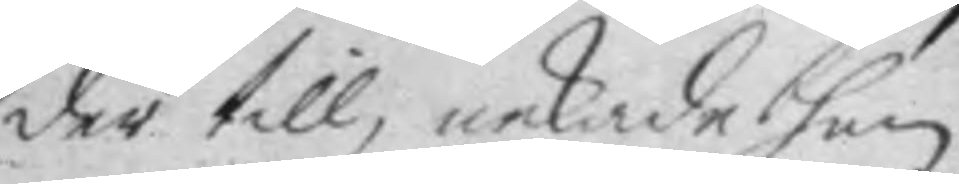der till, nekade han
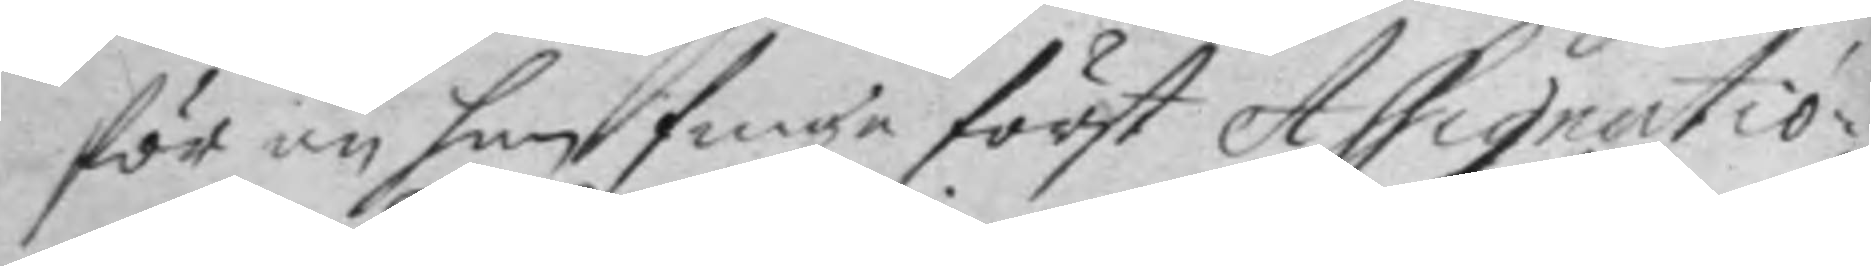för nu han finge först Assignatio¬
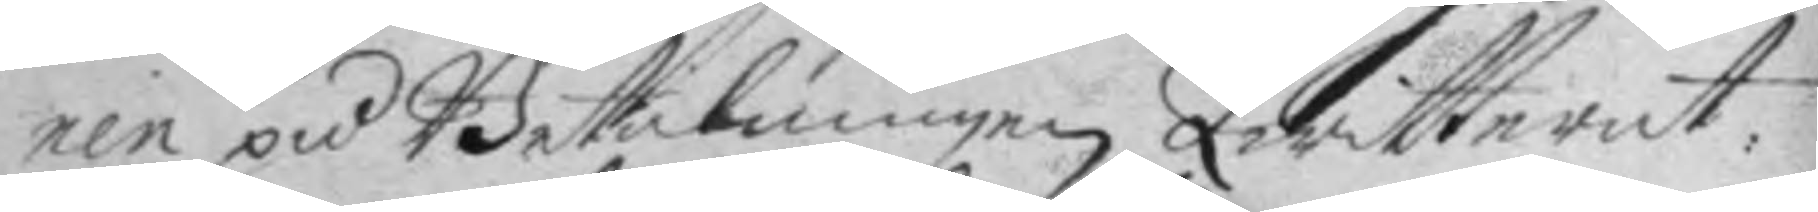nen på Betalningen Qwitterat,
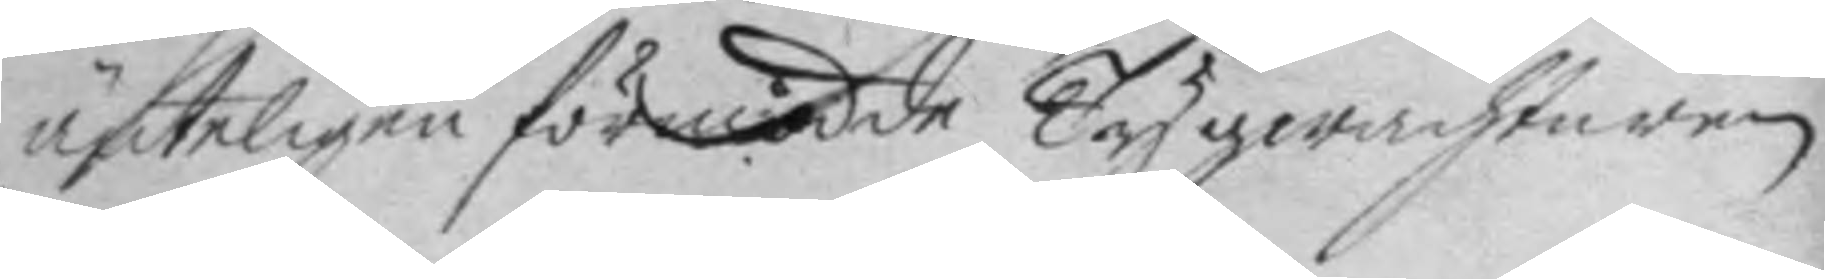änteligen förmådde Tygwachtaren
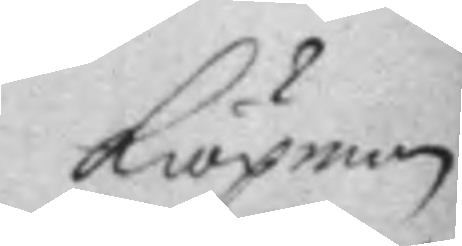kiöpman
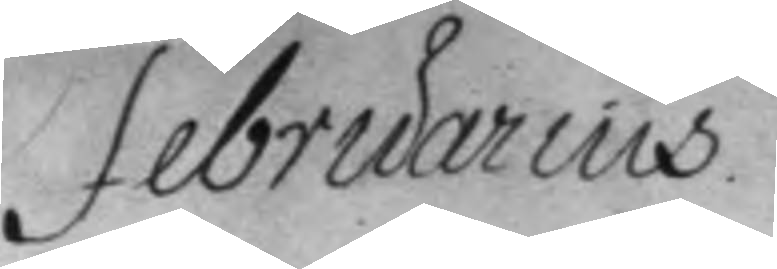Februarius.
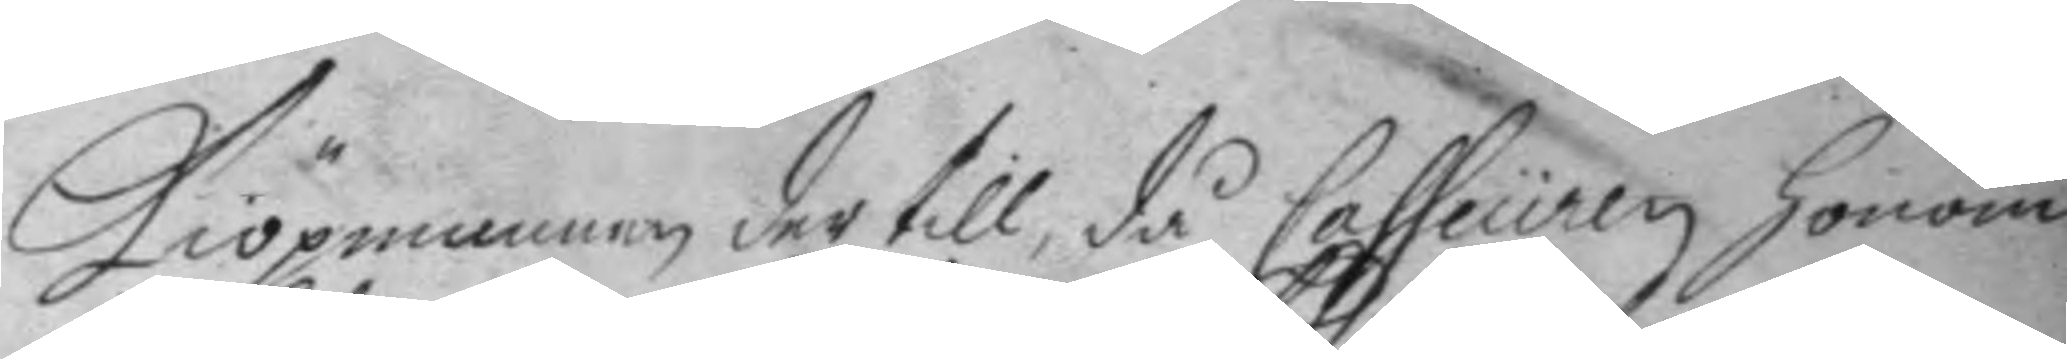kiöpmannen der till, då Casseuren honom
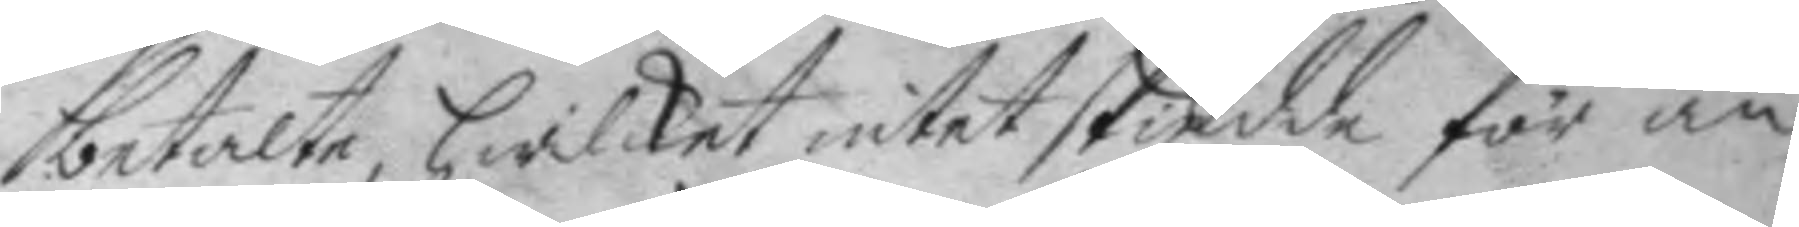betalte, hwilket intet skiedde för än
